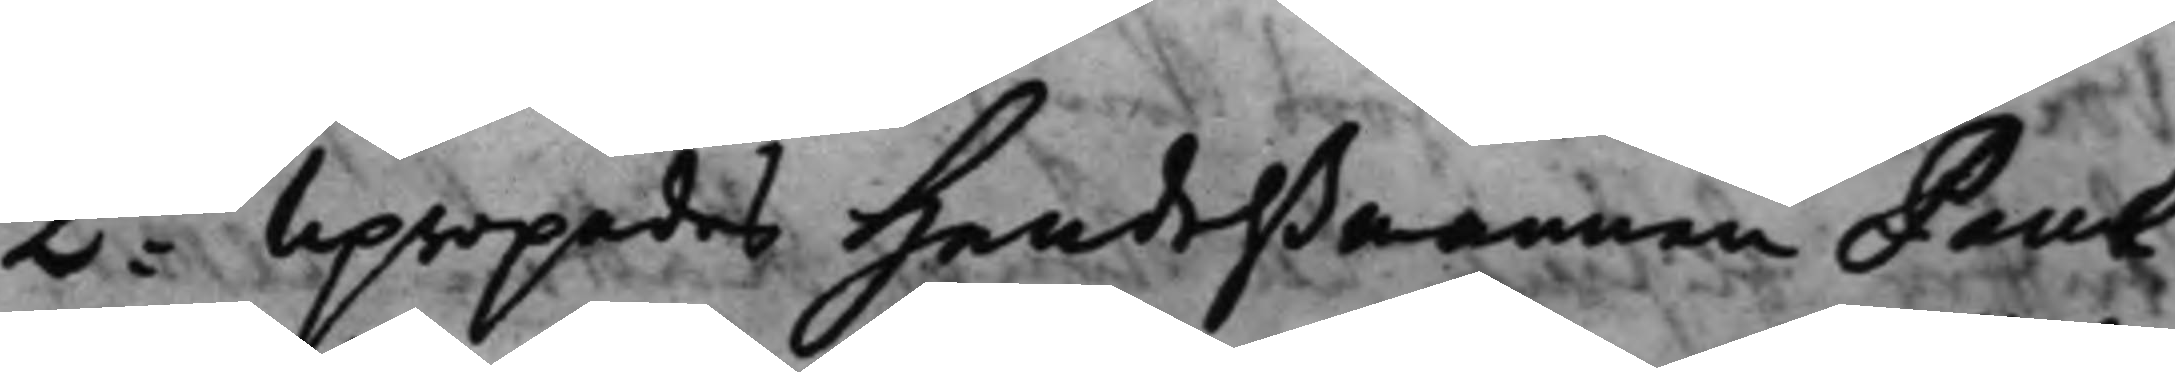2do Upropades Handelßmannen Paul 
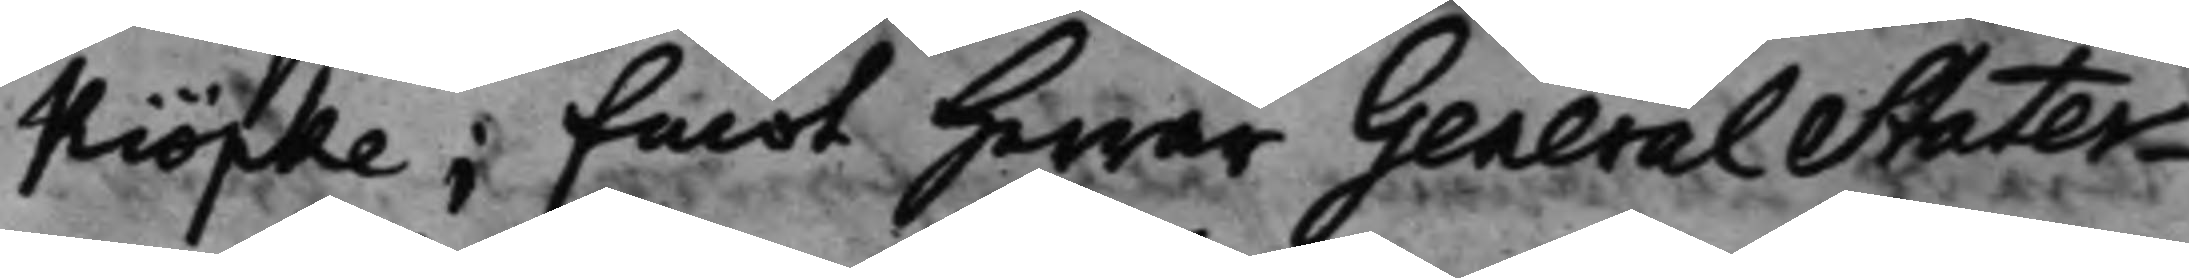Kiöpke; Emot Herrar GeneralStater¬
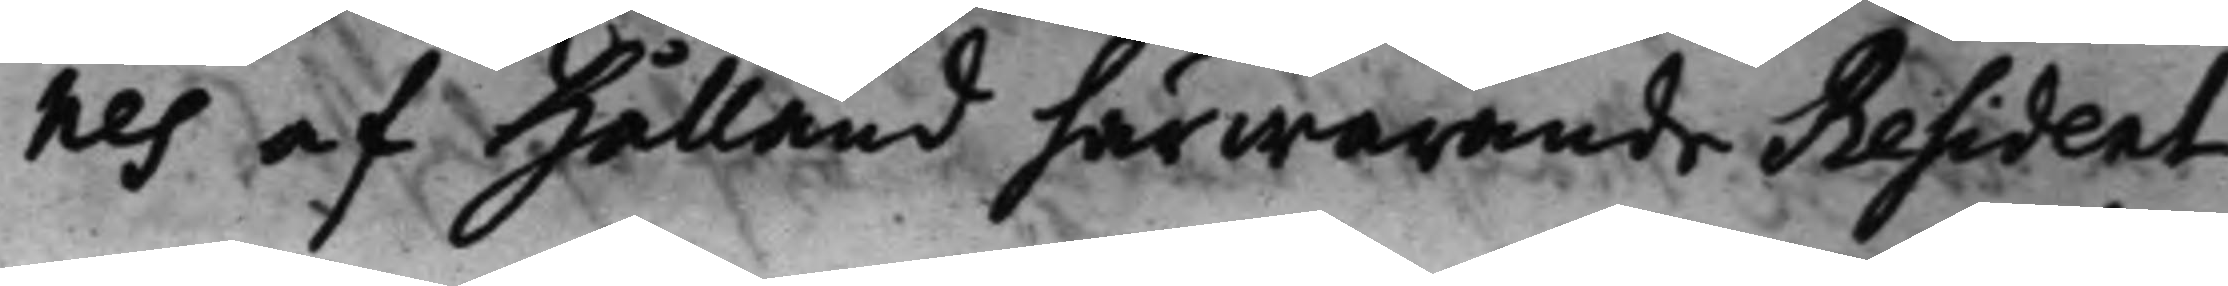nes af Hålland härwarande Resident
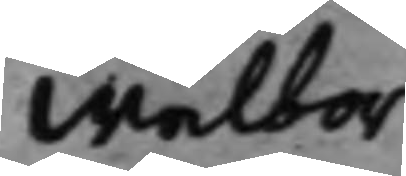Wälbor¬
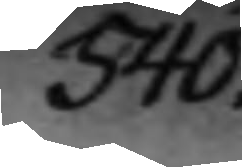540.
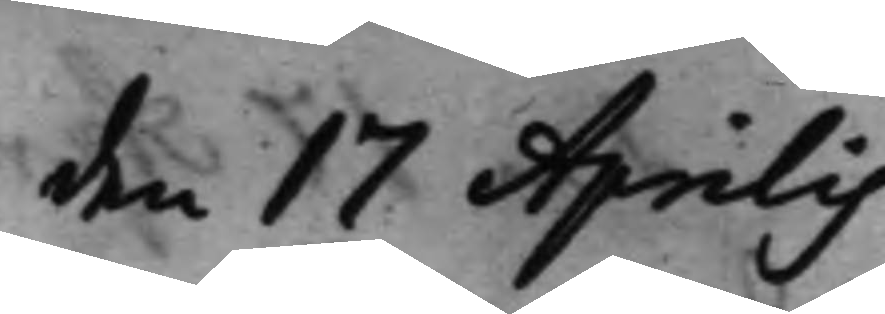den 17 Aprilis
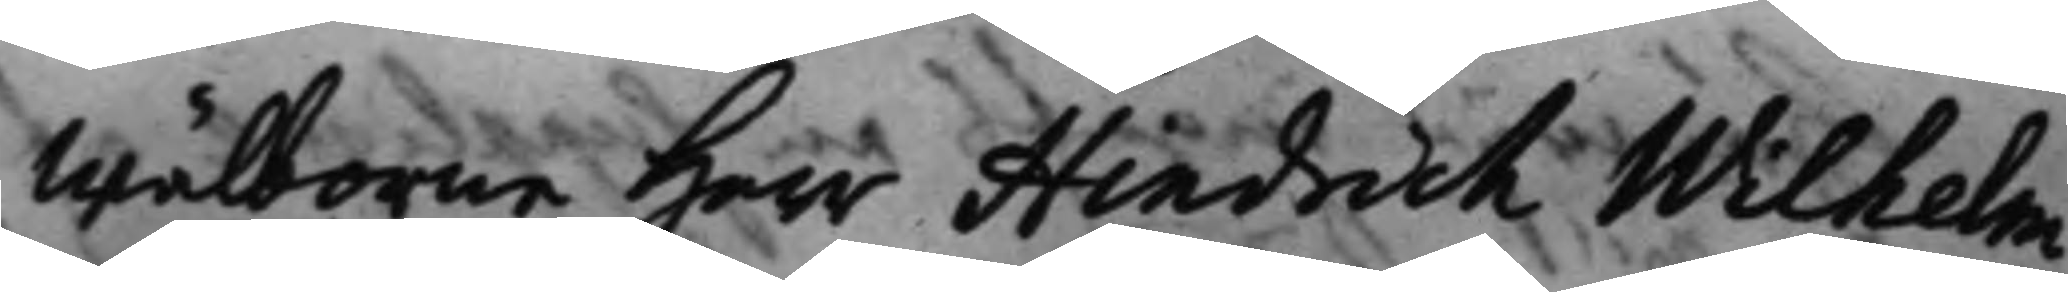wälborne Herr Hindrich Wilhelm
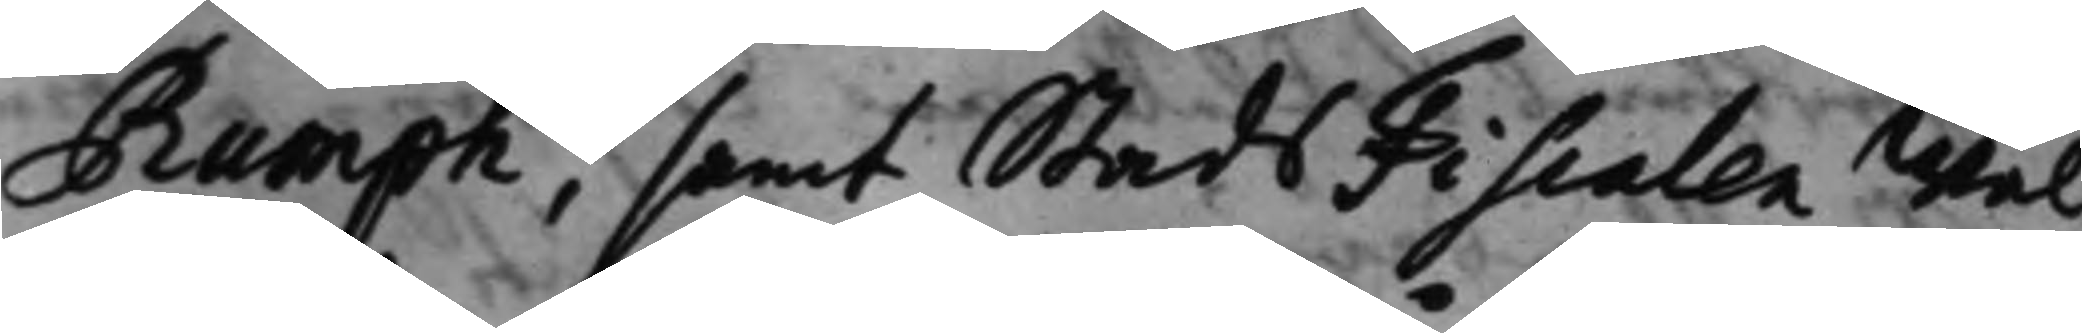Rumph, samt StadsFiscalen Wäl¬
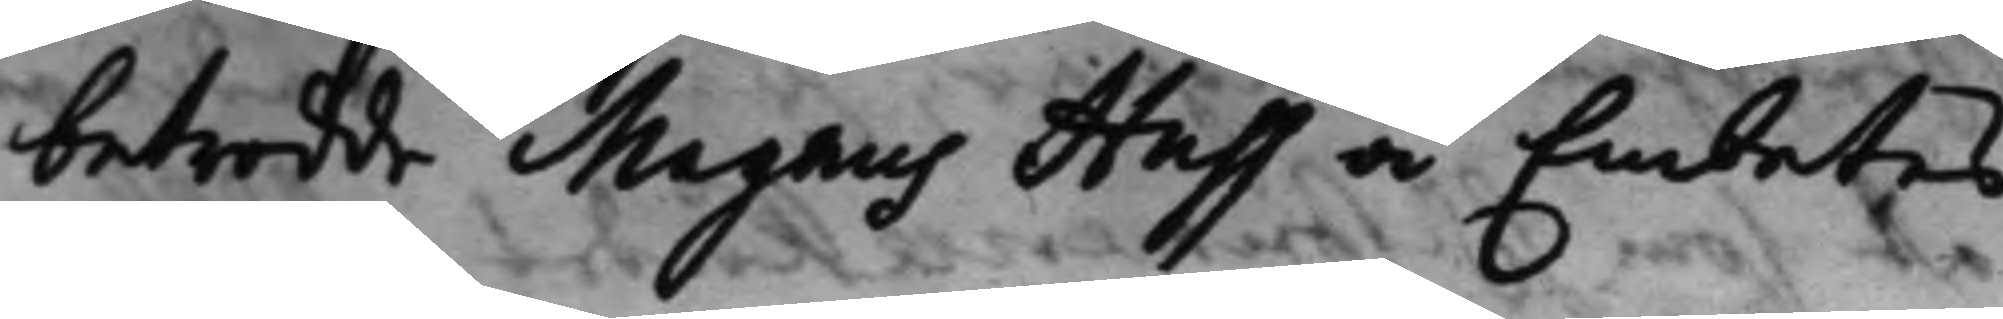betrodde Magnus Huss å Embetes
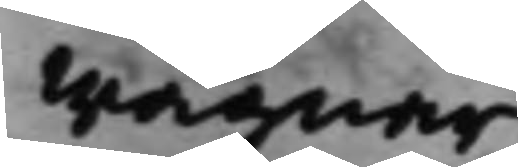wägnar.
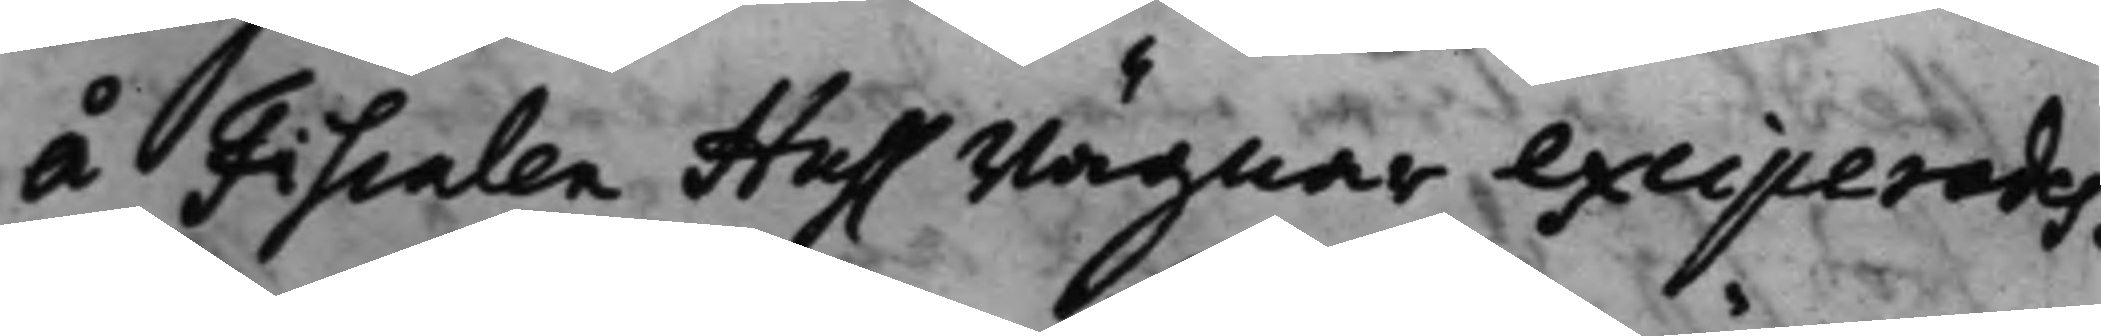å fiscalen Huss wägnar exciperades.
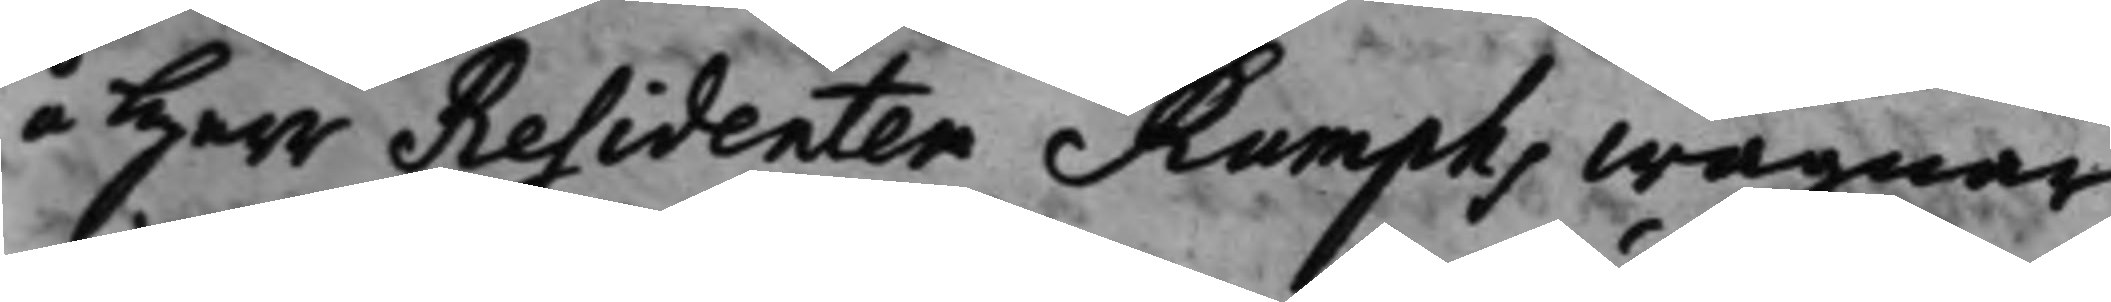å Herr Residenten Rumphs wägnar
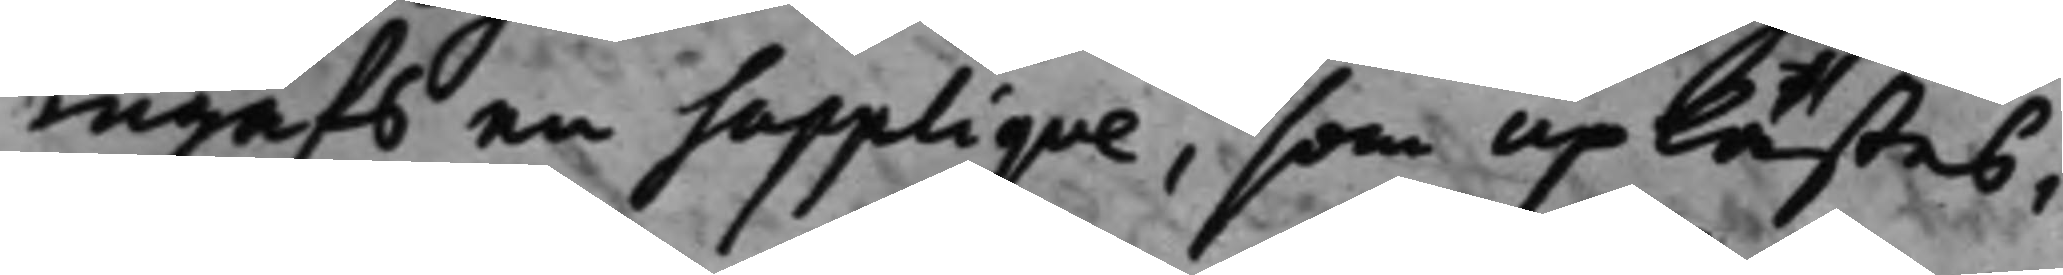ingafs en Supplique, som uplästes,
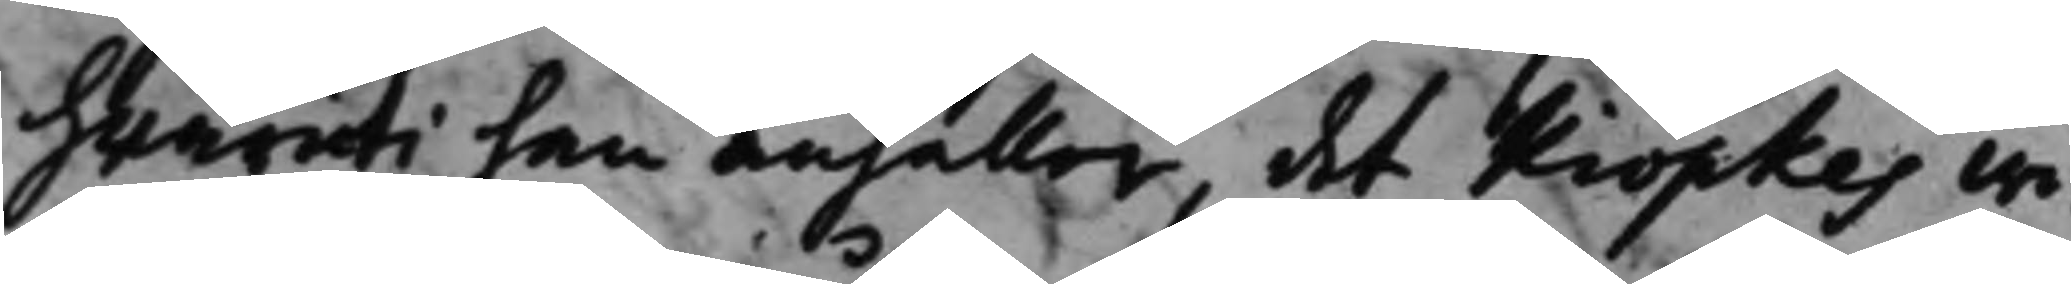hwaruti han anhåller, det Kiöpkes wi¬
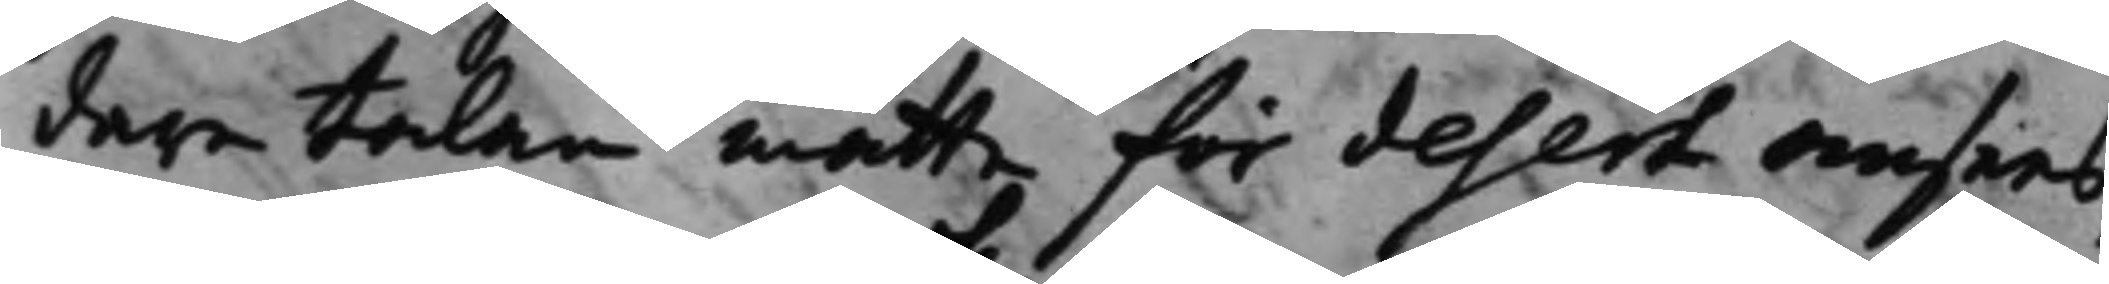dare talan måtte för desert ansees,
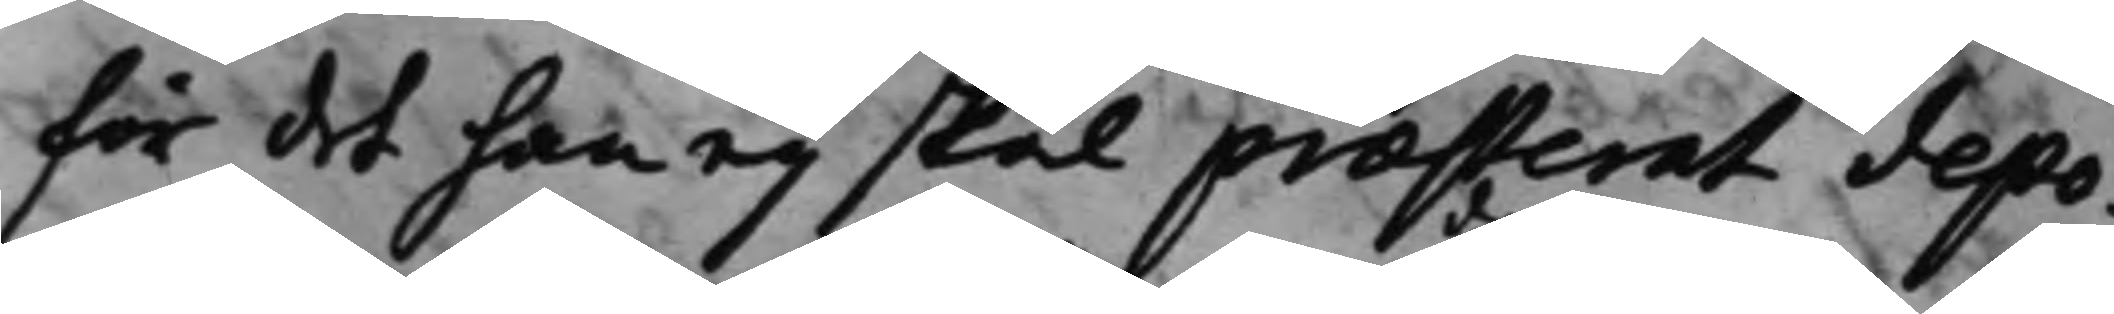för det han eij skal præsterat depo¬
